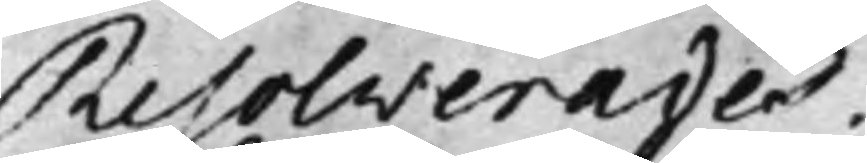Resolverades.
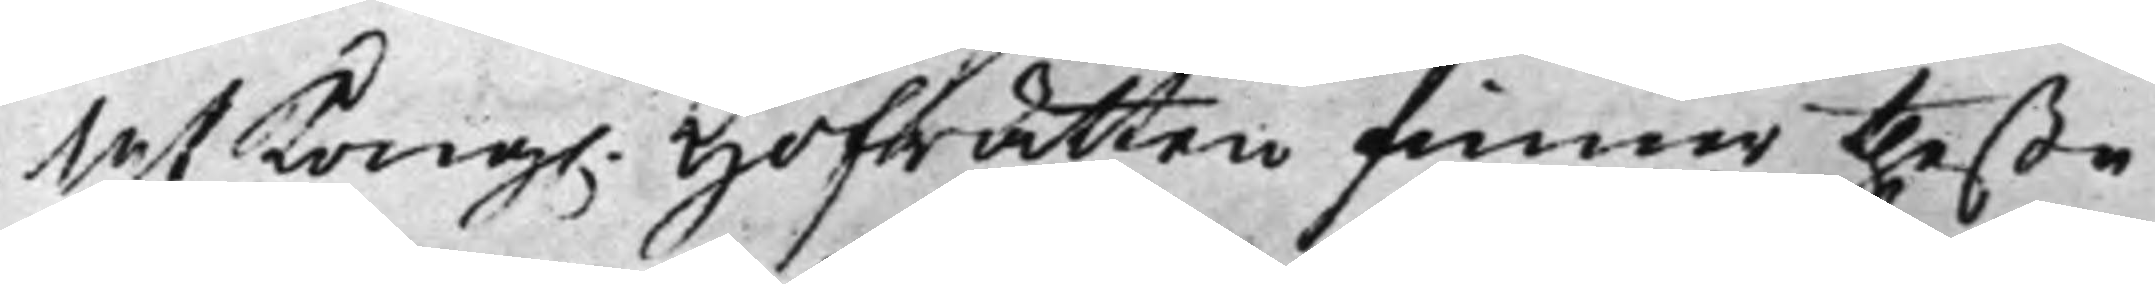At Kong. Hofrätten finner theße
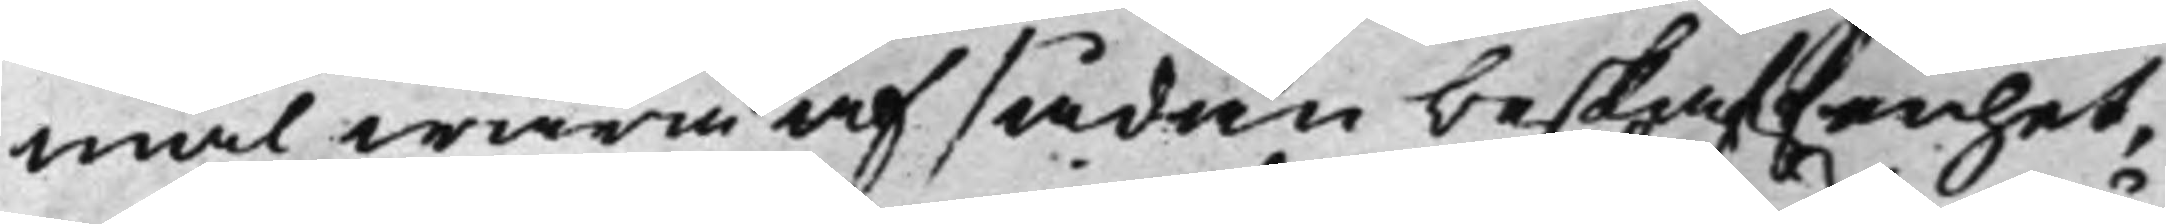mål wara af sådan beskaffenhet,
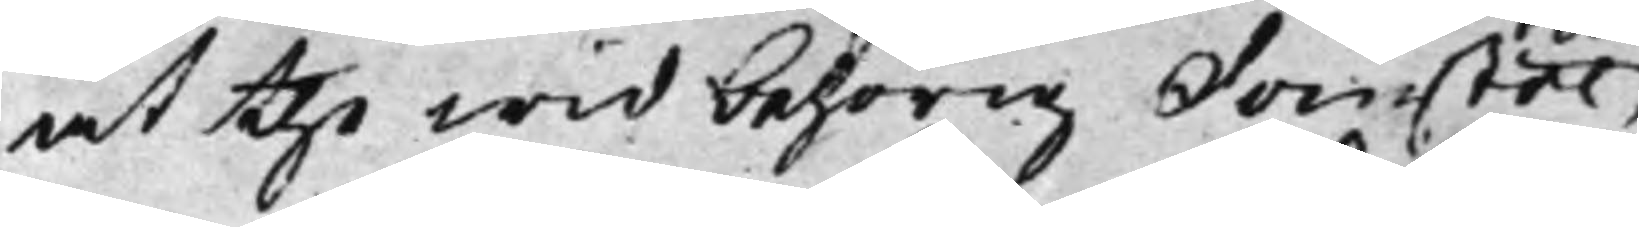at the wid behörig Domstol,
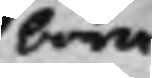böra
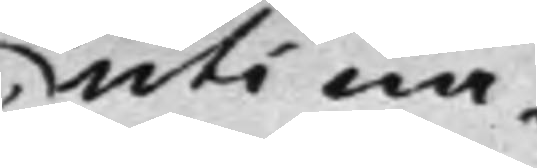uti nå¬
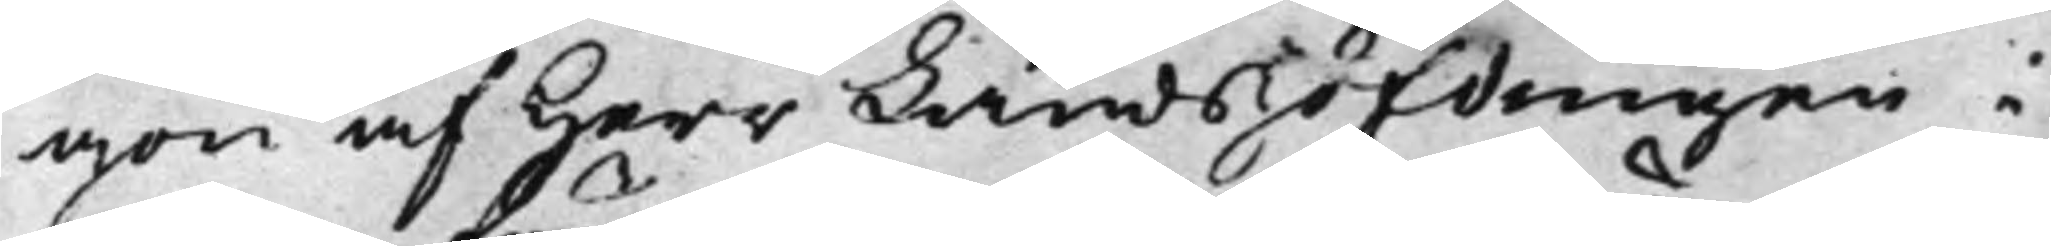gon af Herr Landshöfdingen i
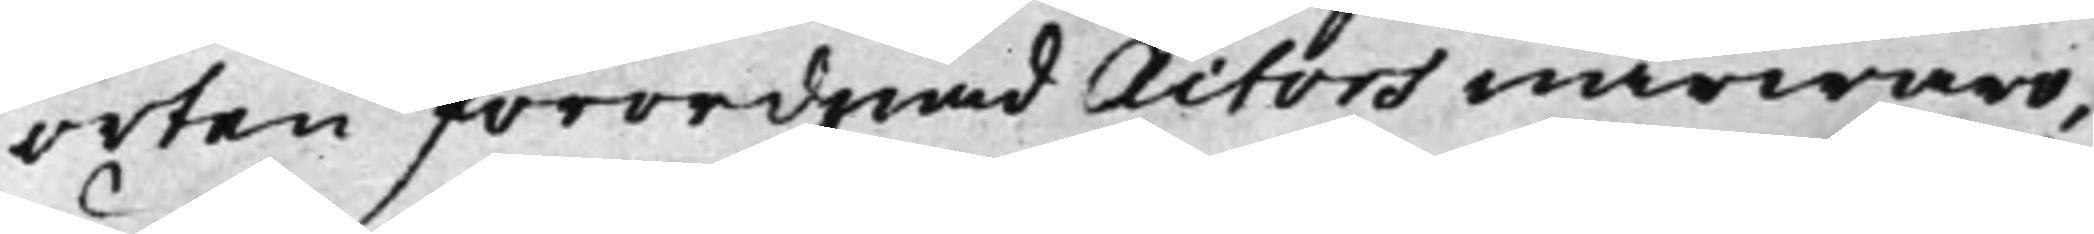orten förordnad Actors närwaro,
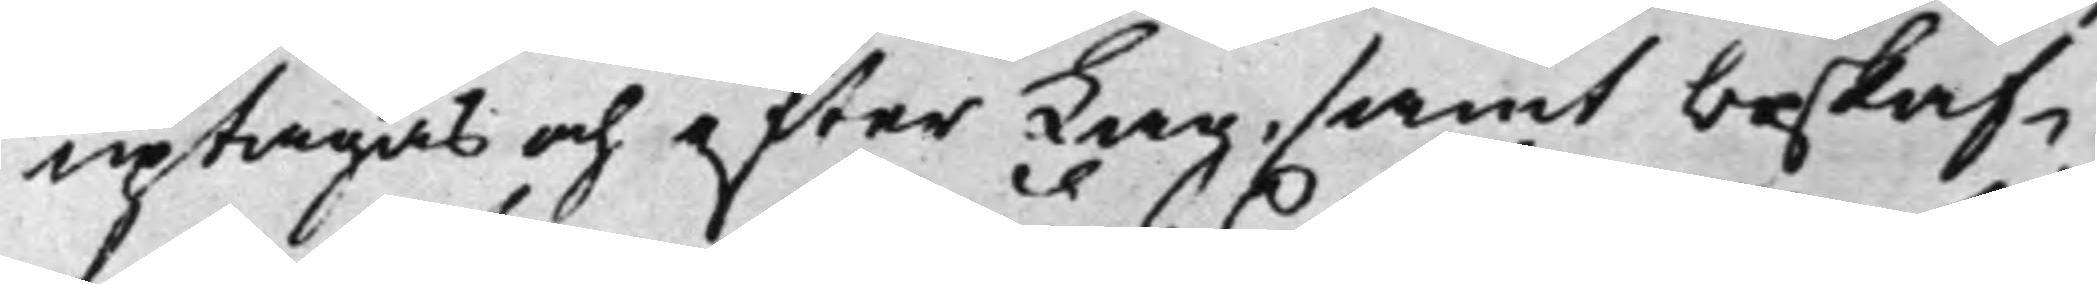uptagas och efter Lag, samt beskaf¬
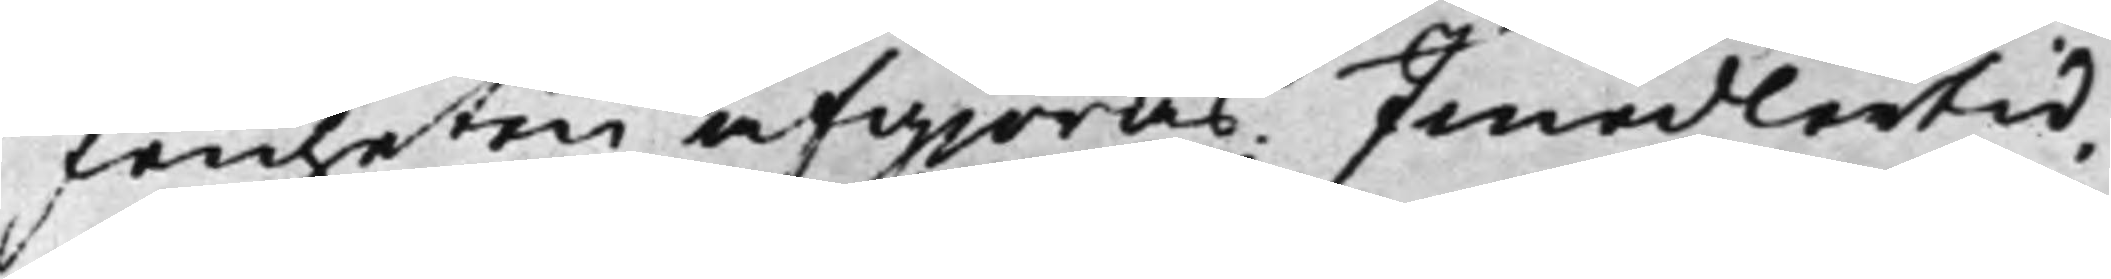fenheten afgiöras; Imedlertid,
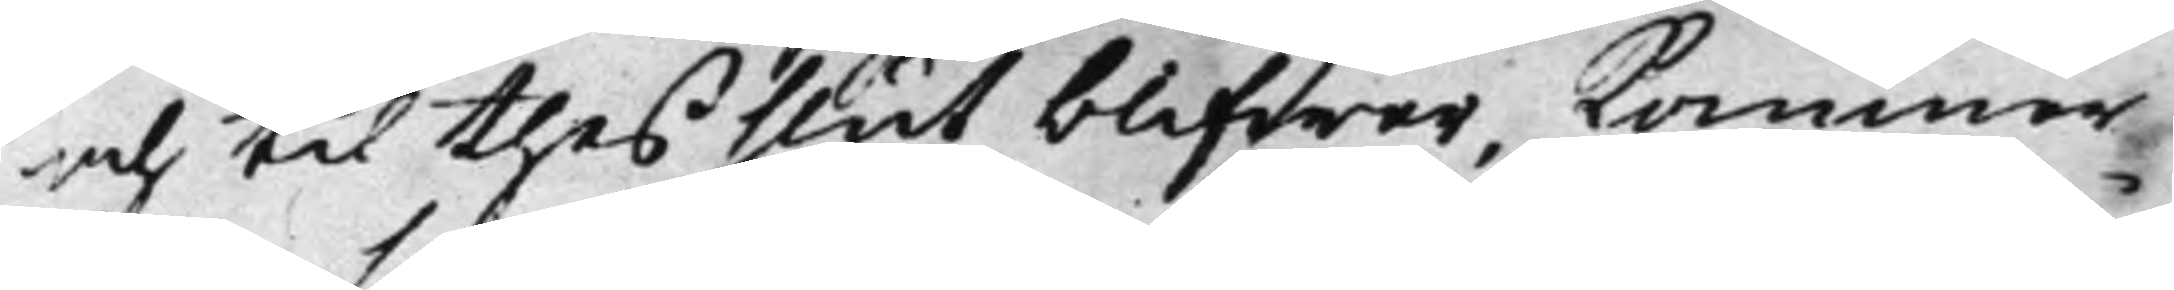och til thes slut blifwer, kommer
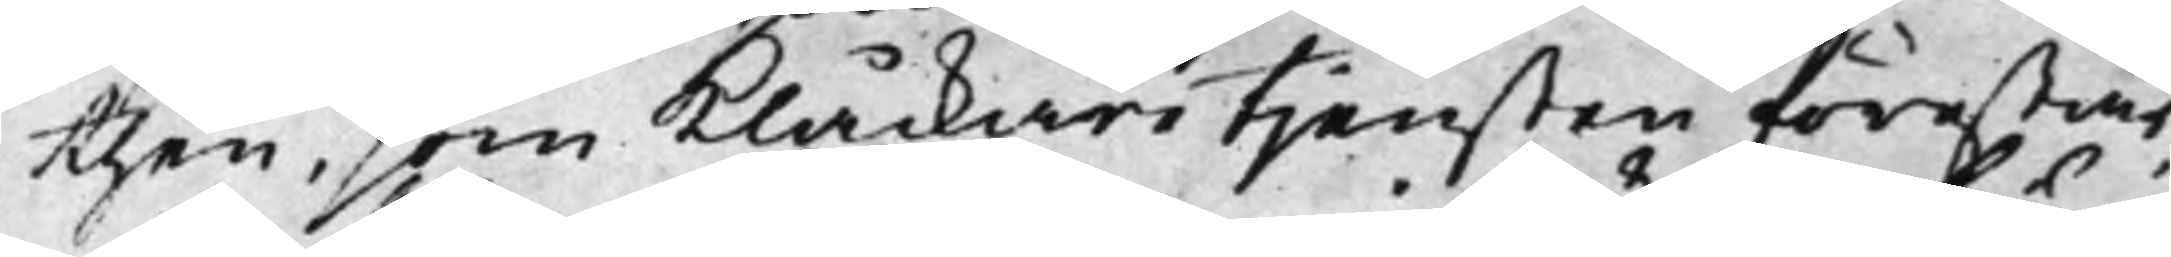then, som Klåckaretjensten förestår,
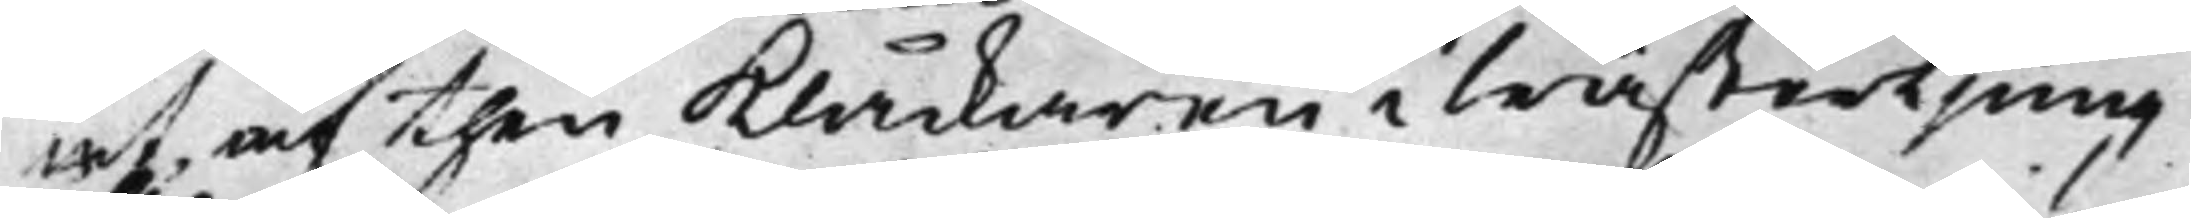at, af then Klåckaren i WästerLjung
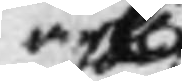erh.
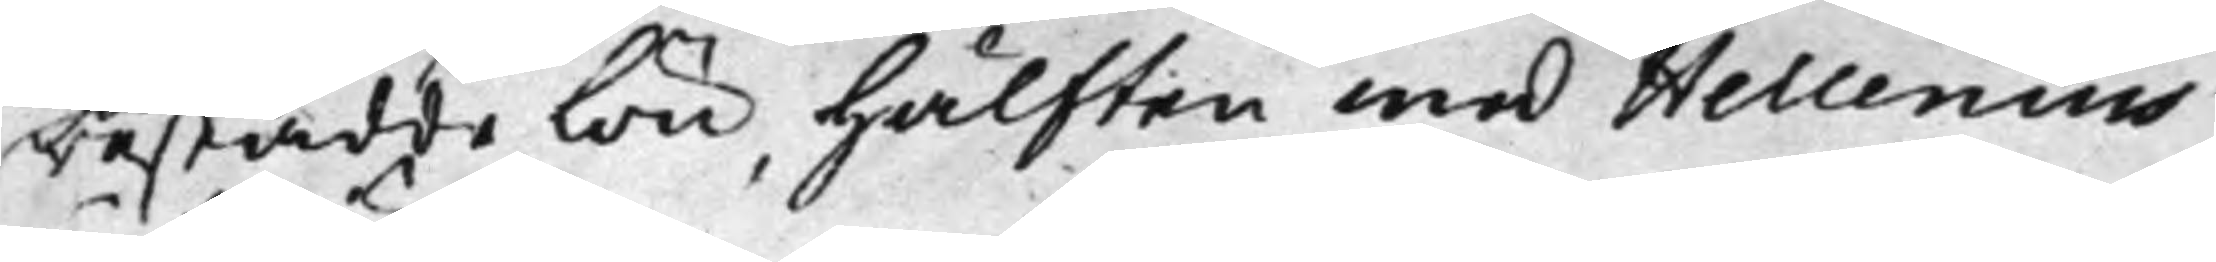bestådde lön hälften med Hellenius
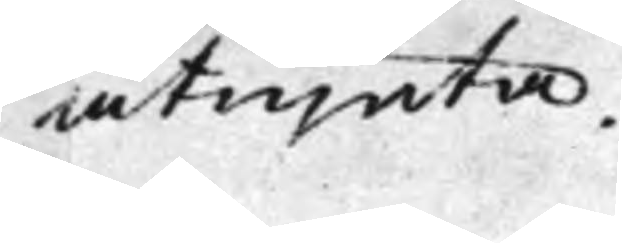åtnjuta.
